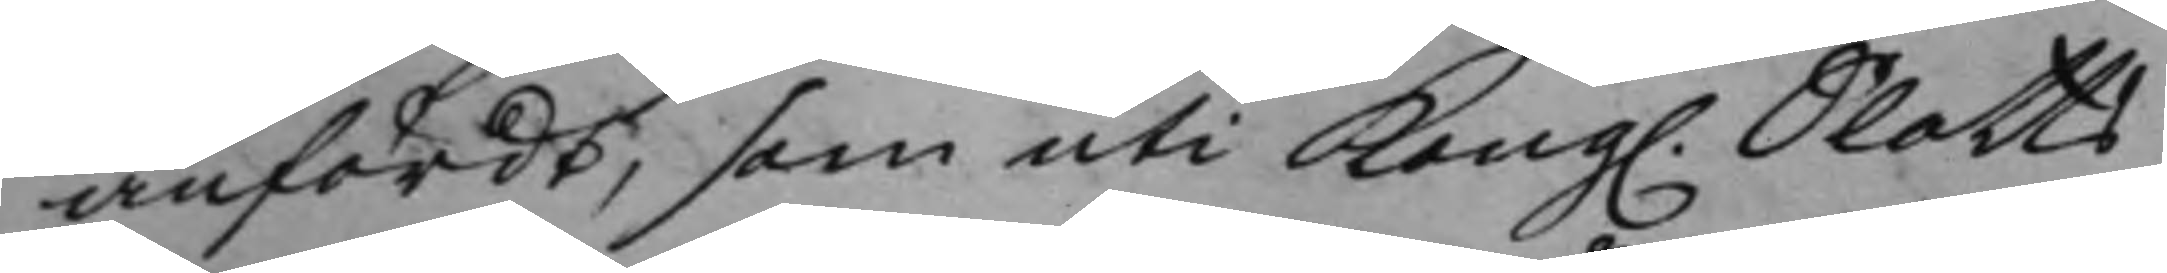anfördt, som uti Kong. Slotts¬ 
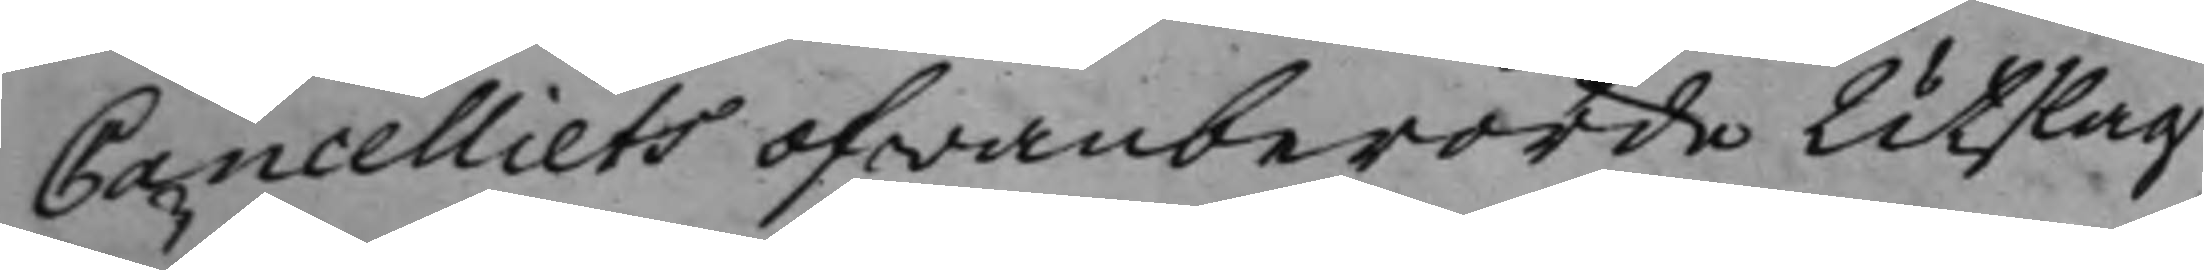Cancelliets ofwanberörde Utslag
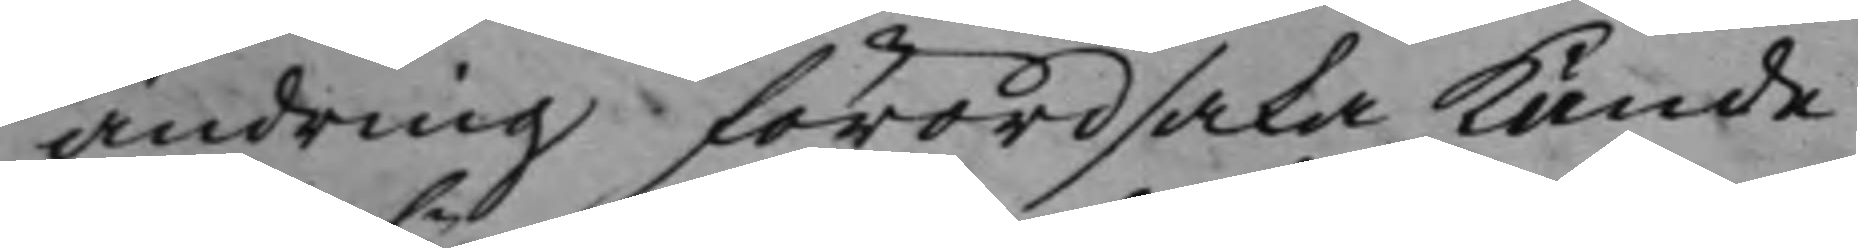ändring förordsaka kunde.
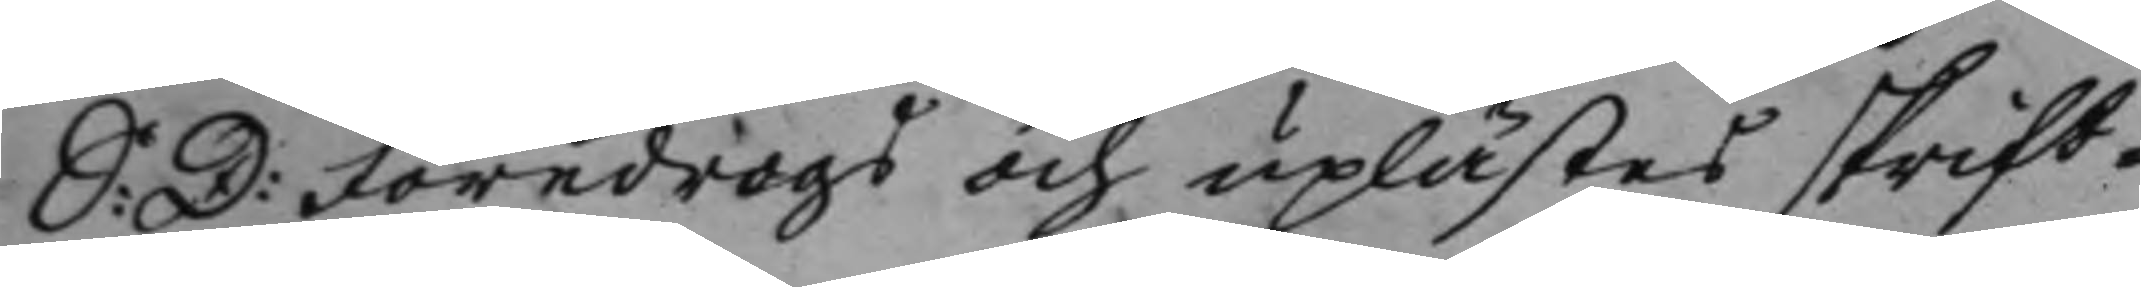S: D: Föredrogs och uplästes skrift¬ 
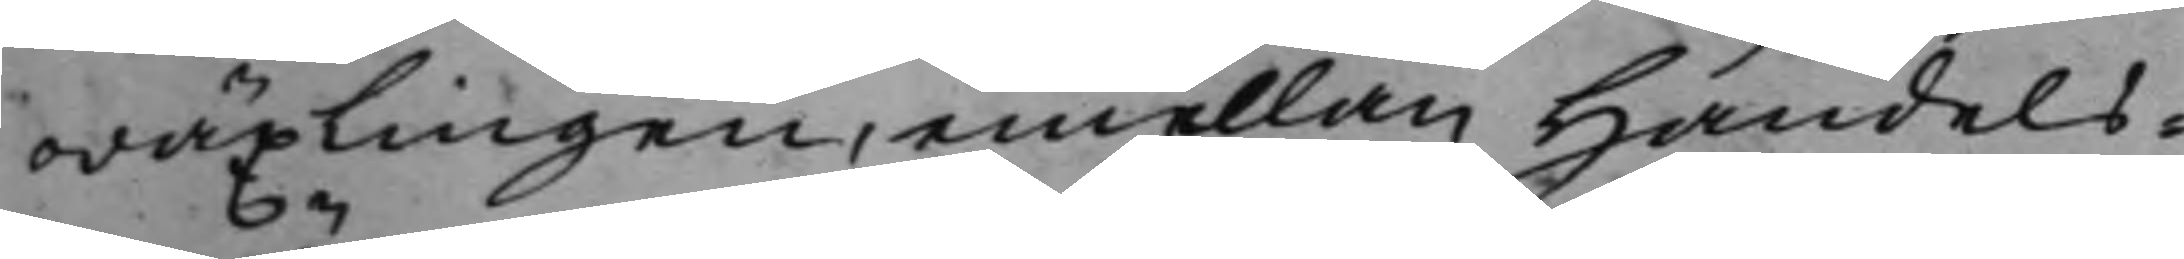wäxlingen, emellan Handels¬
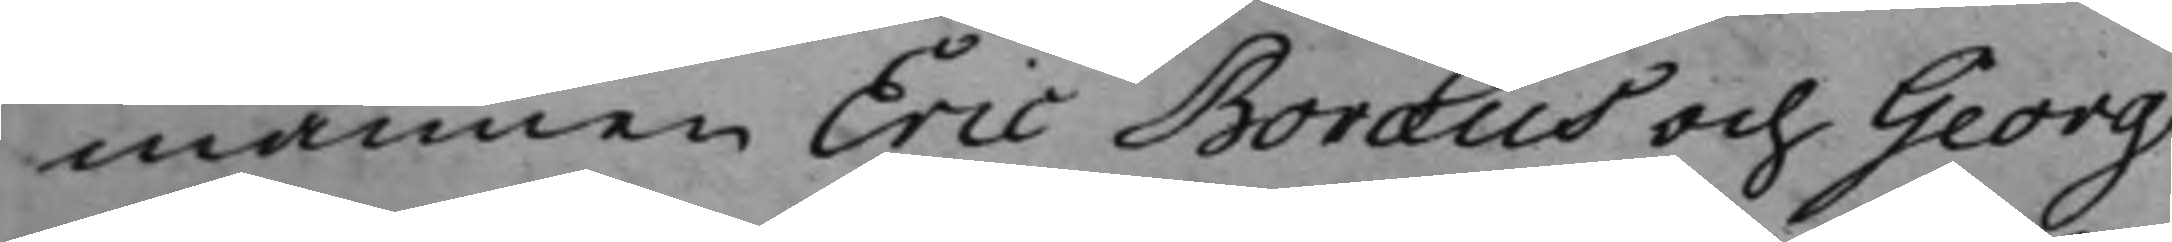männen Eric Boræus och Georg
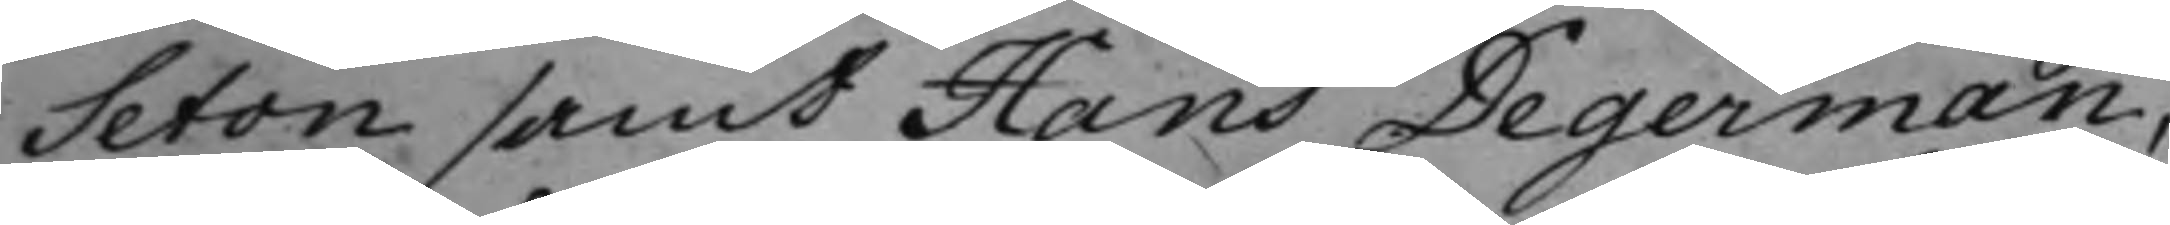Seton samt Hans Degerman,
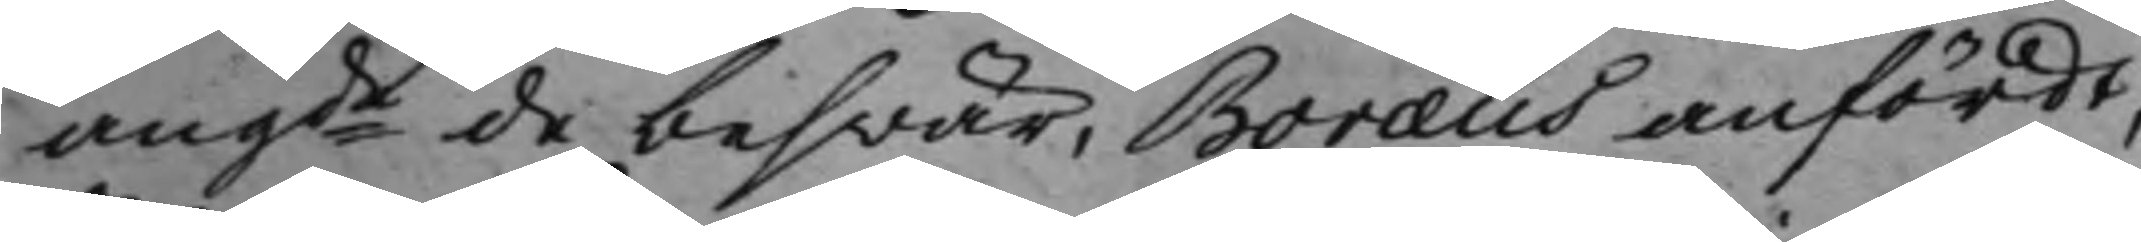angde de beswär, Boræus anfördt, 
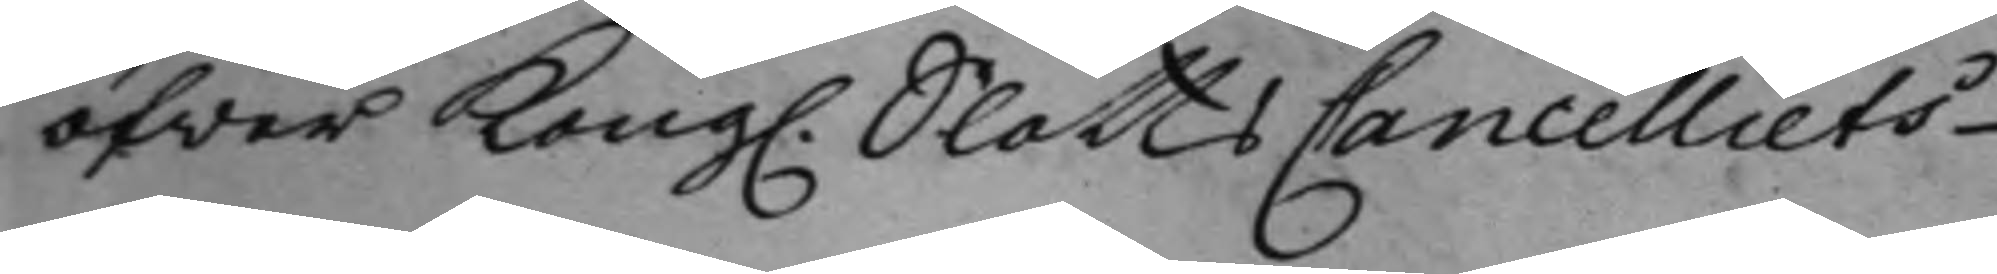öfwer Kong. SlottsCancelliets 
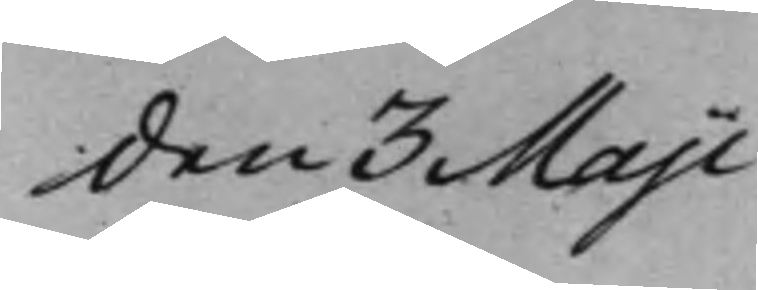den 3 Maji
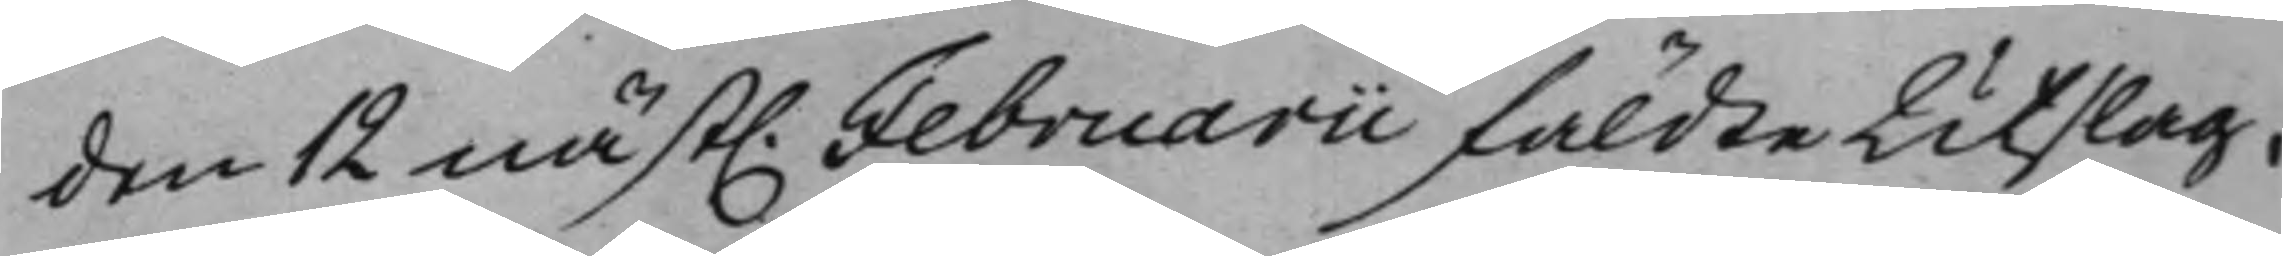den 12 näst. Februarii fäldte Utslag, 
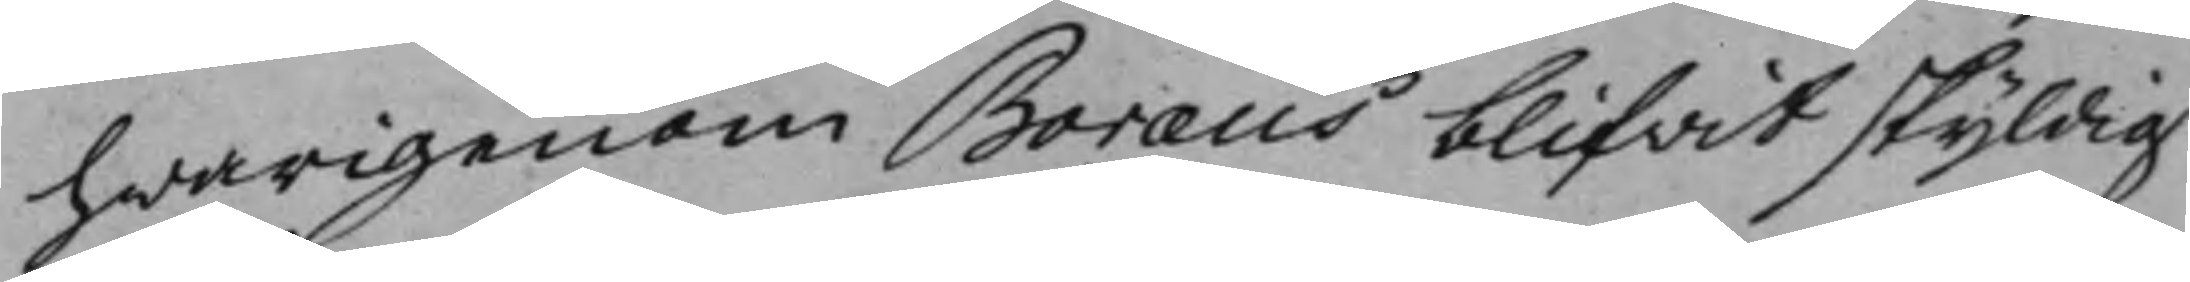hwarigenom Boræus blifvit skyldig
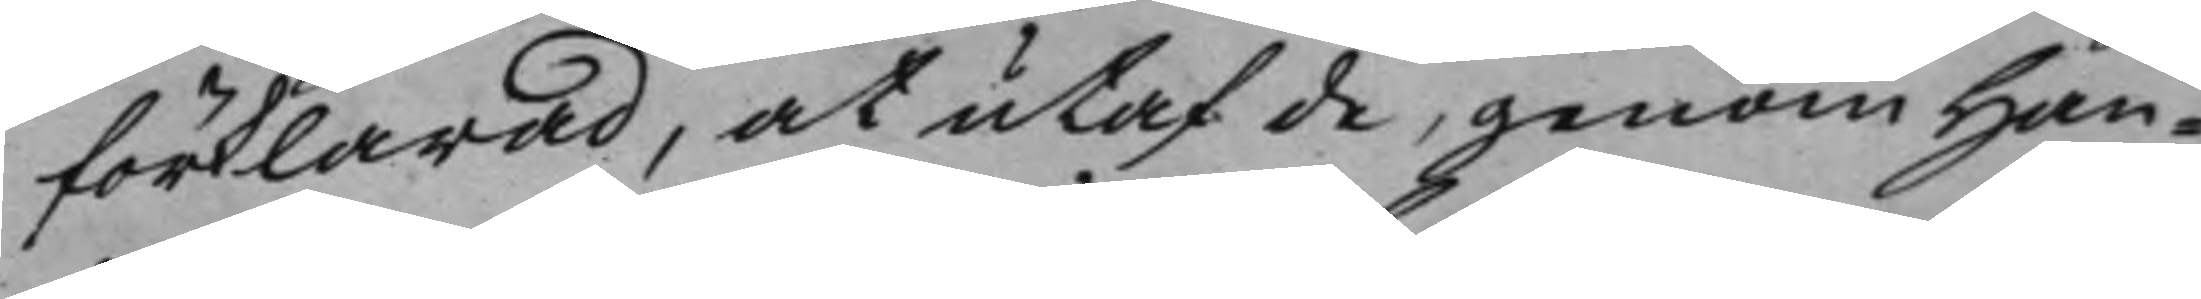förklarad, at utaf de, genom Han¬
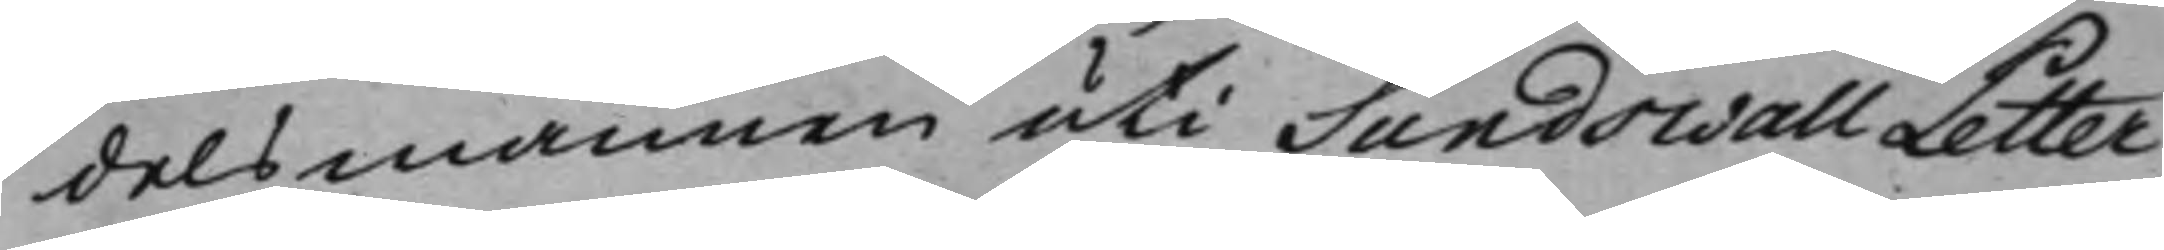delsmannen uti Sundswall Petter
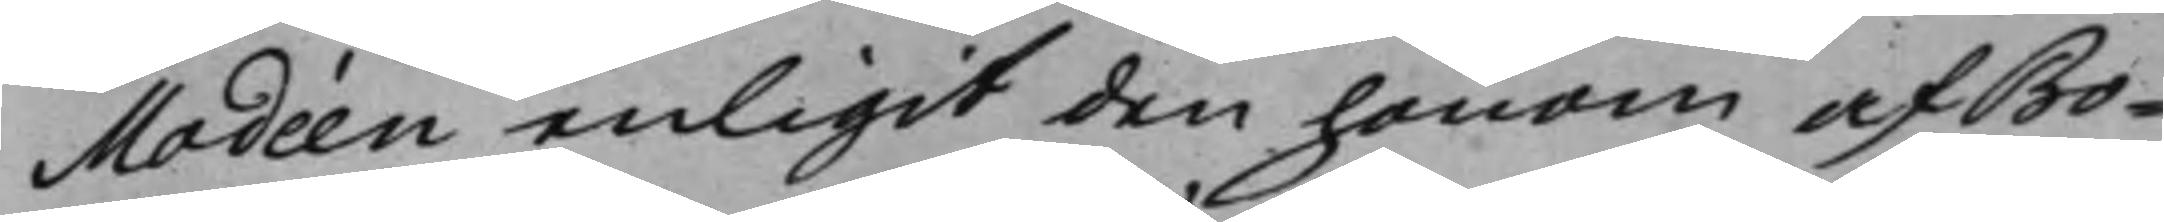Modéen enligit den honom af Bo¬
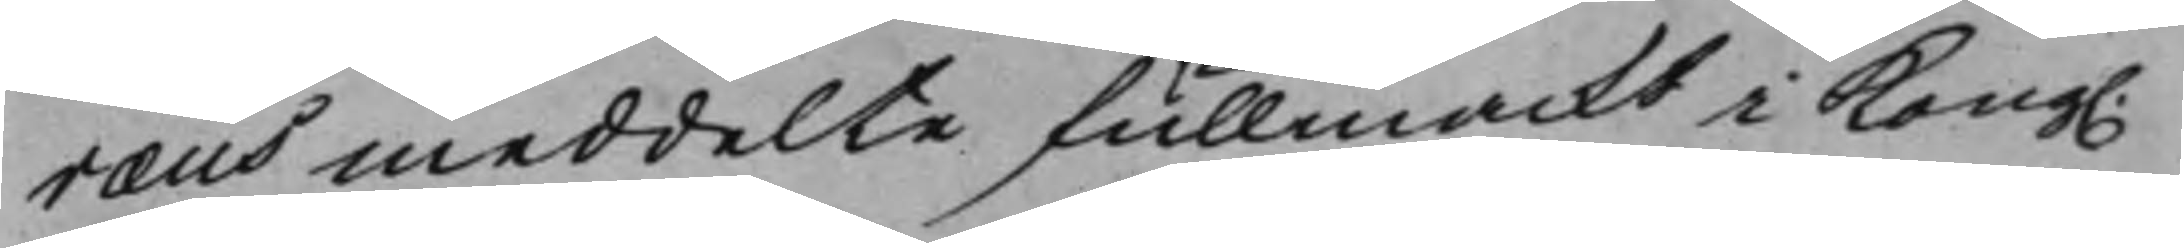ræus meddelte fullmackt i Kong. 
